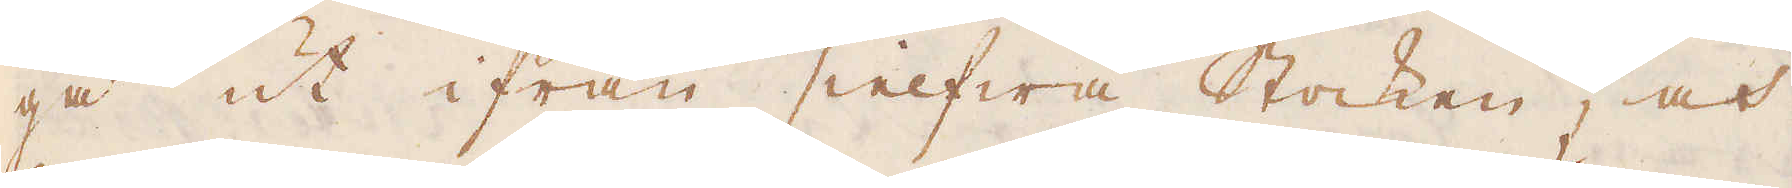gå ut ifrån sielfwa Stocken, och
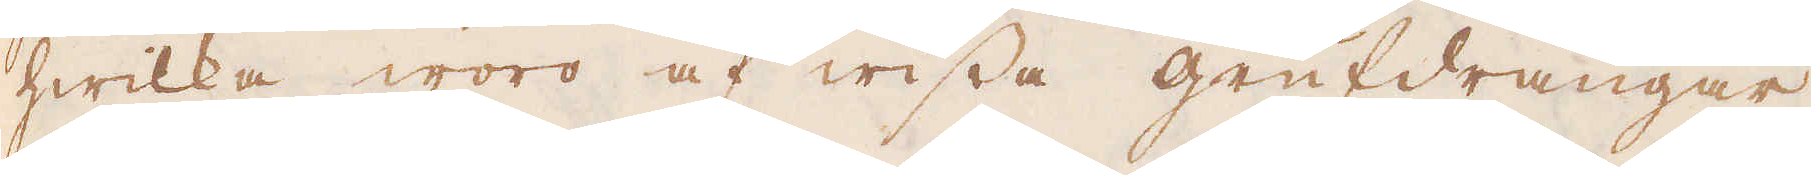hwilka woro af wissa grufdrängar
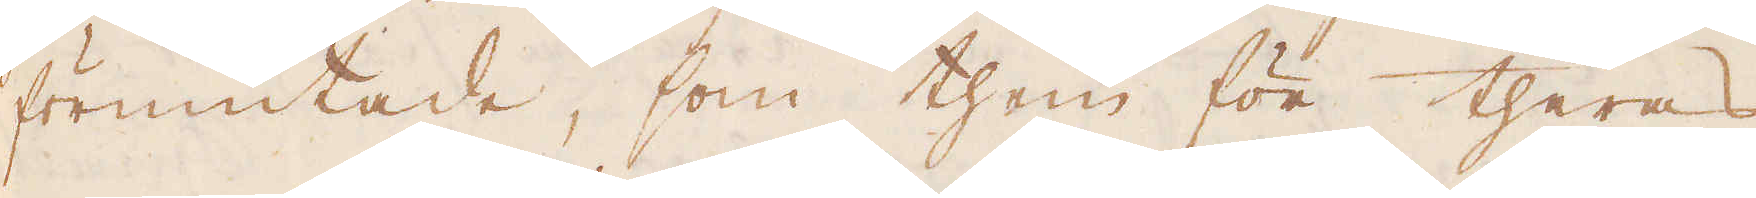förmutade, som them för theras
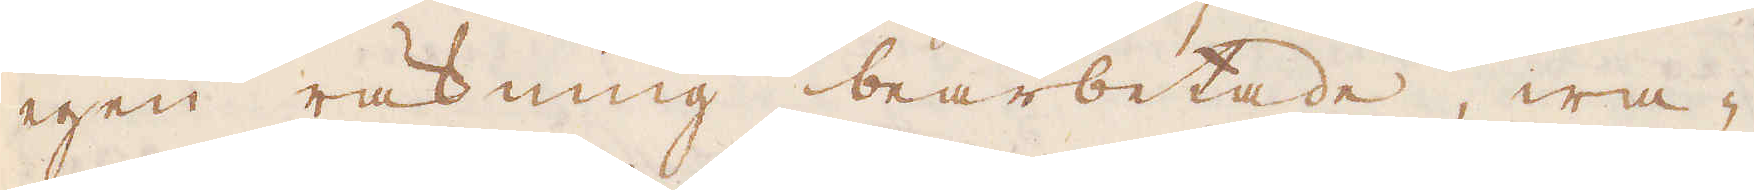egen räkning bearbetade, wa-
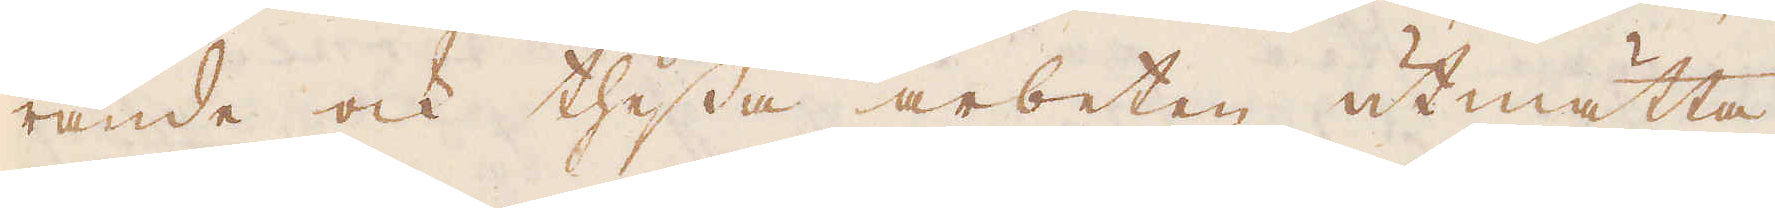rande ock thessa arbeten utmätta
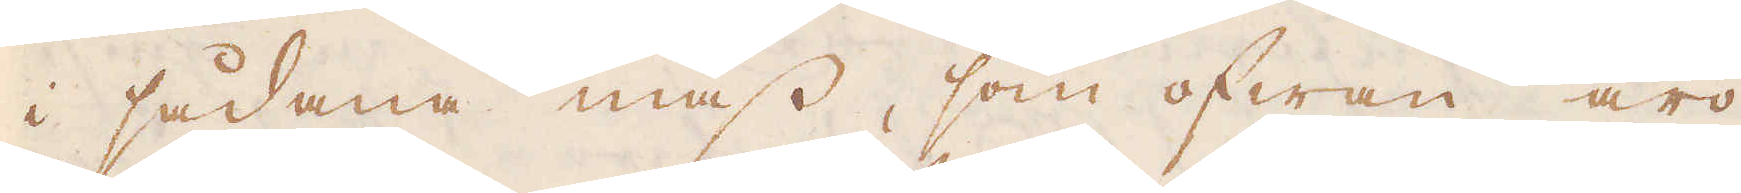i sådana mass, som ofwan äro
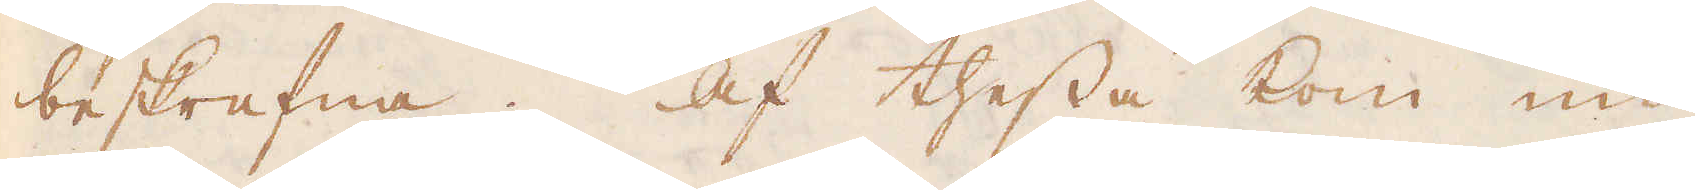beskrefna. Af thessa kom nu
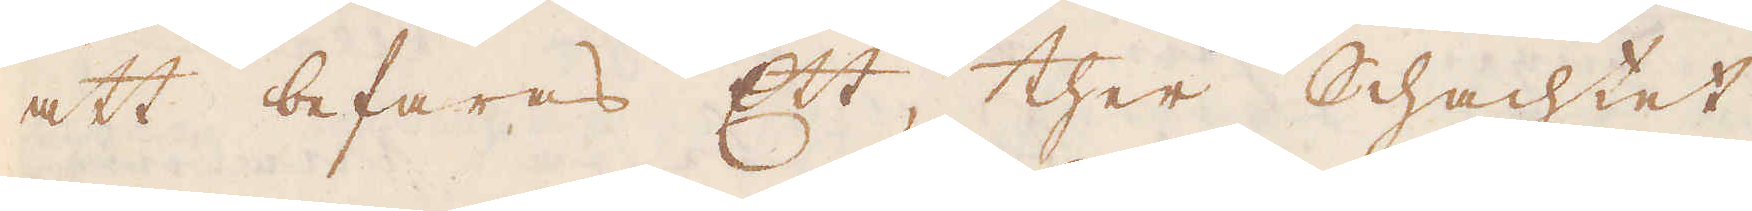att befaras Ett, ther Schachtet
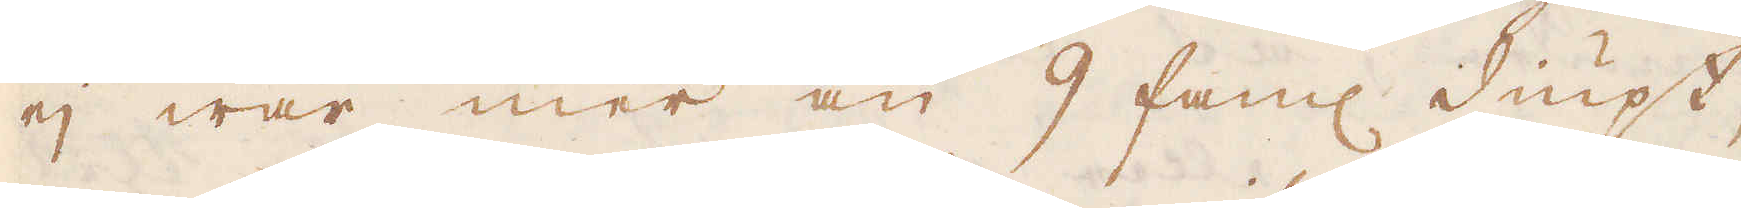ej war mer än 9 fam:r diupt,
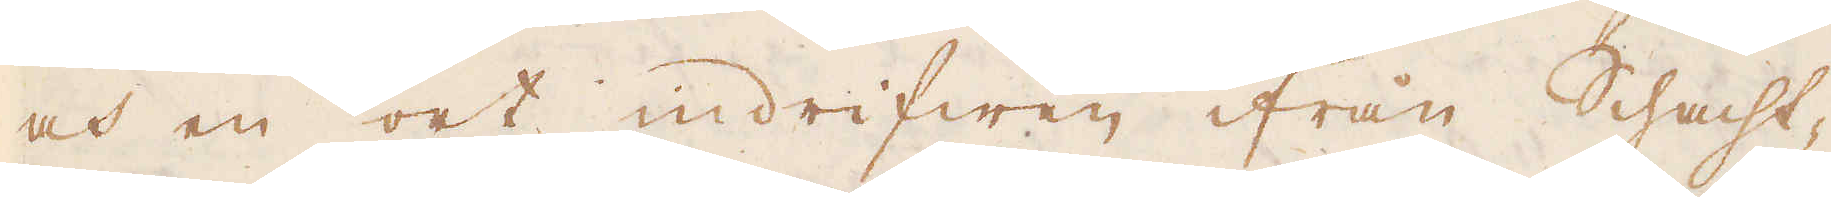och en ort indrifwen ifrån Schacht-
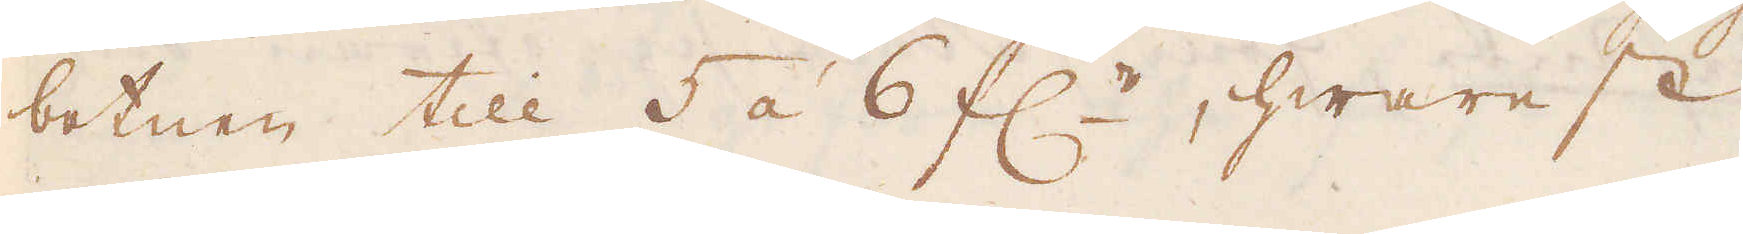botnen till 5 à 6 f:r, hwarest
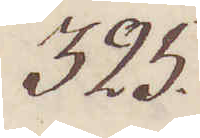325.
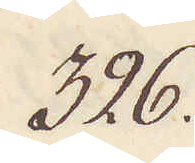326.
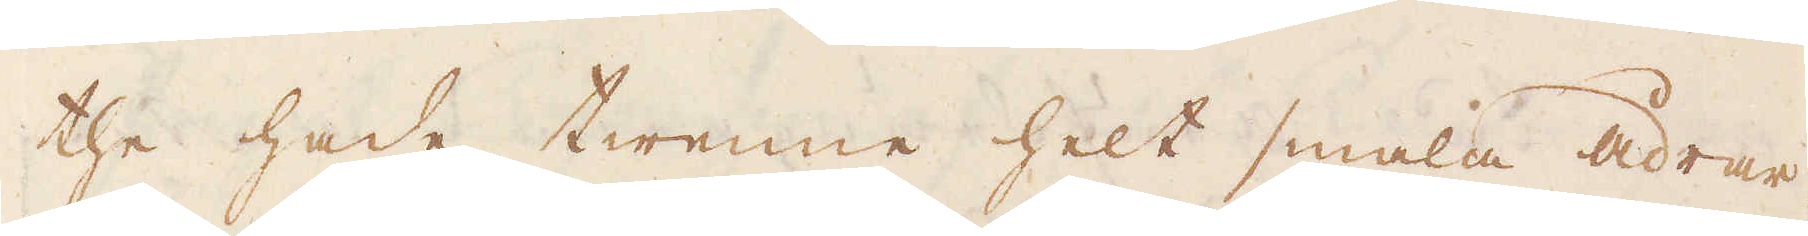the hade twenne helt smala ådrar
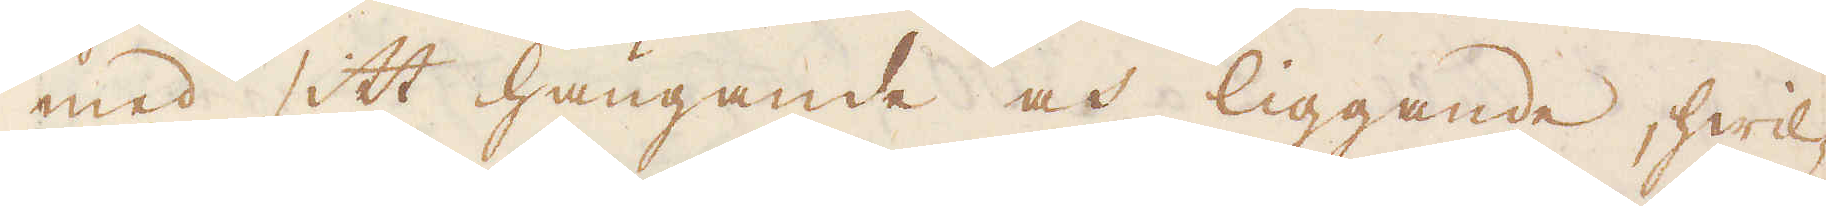med sitt hängande och liggande, hwil-
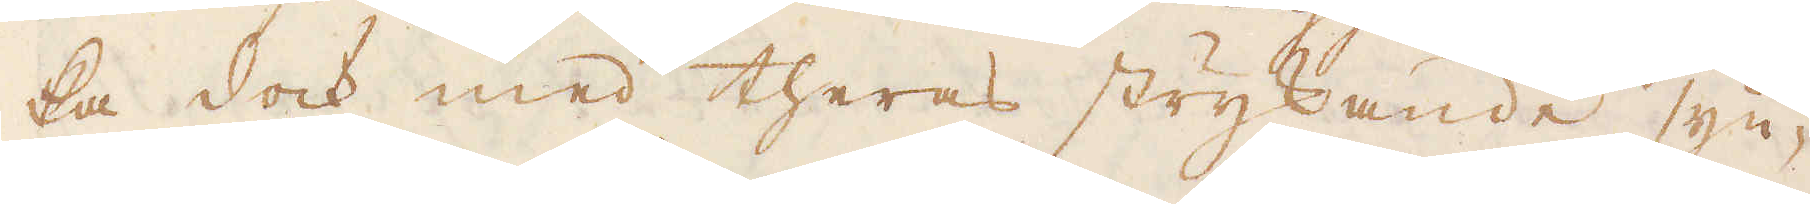ka dock med theras strykande syn-
